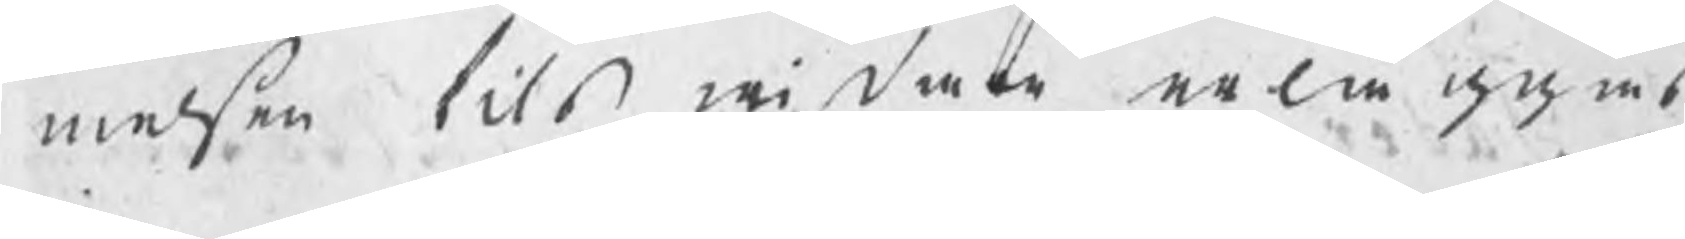melsen tils widare erläggas,
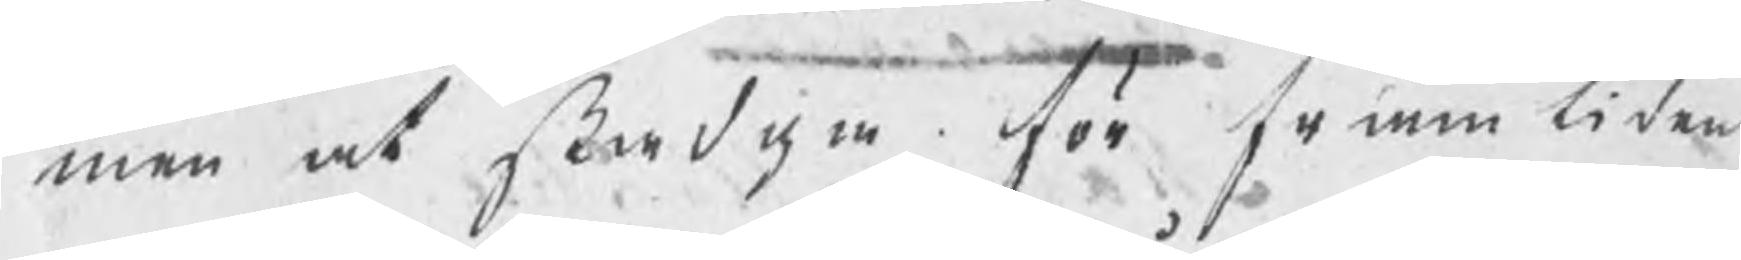men at stadga för framtiden
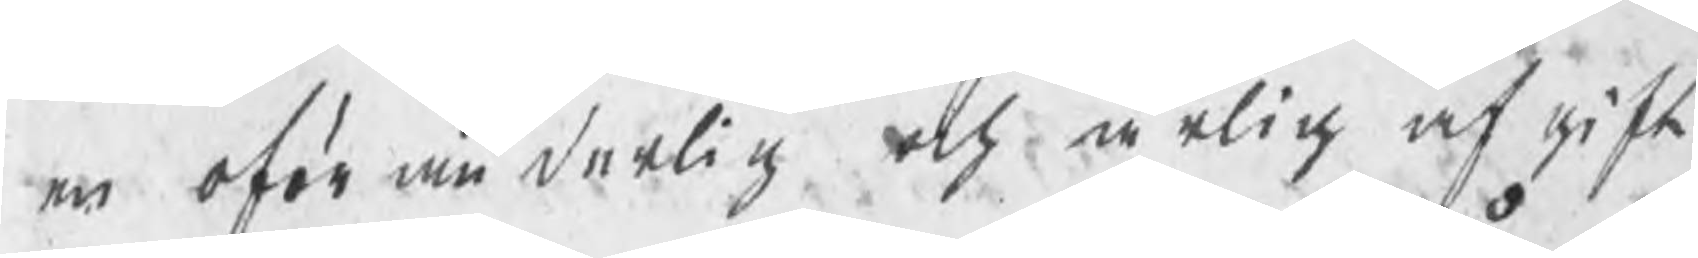en oföränderlig och årlig afgift
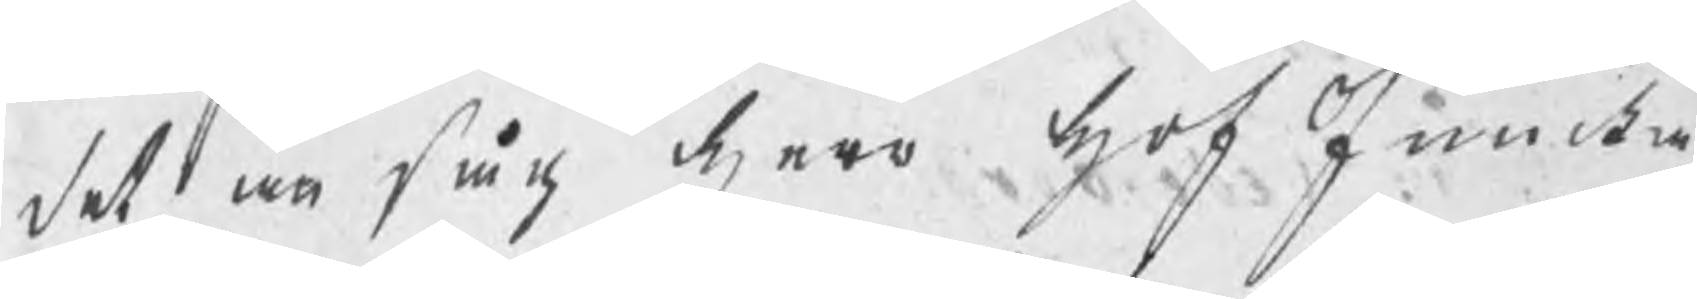det an såg herr hofJunka¬
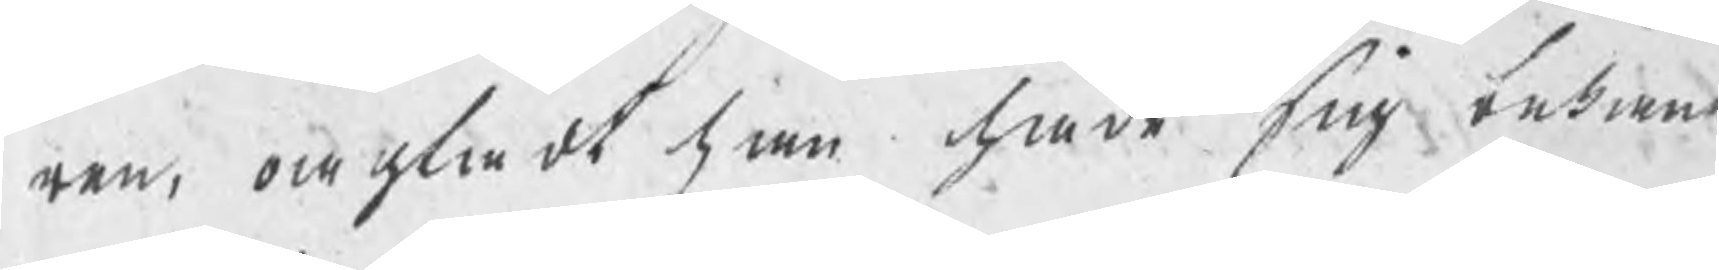ren, oagtadt han hade sig bekant
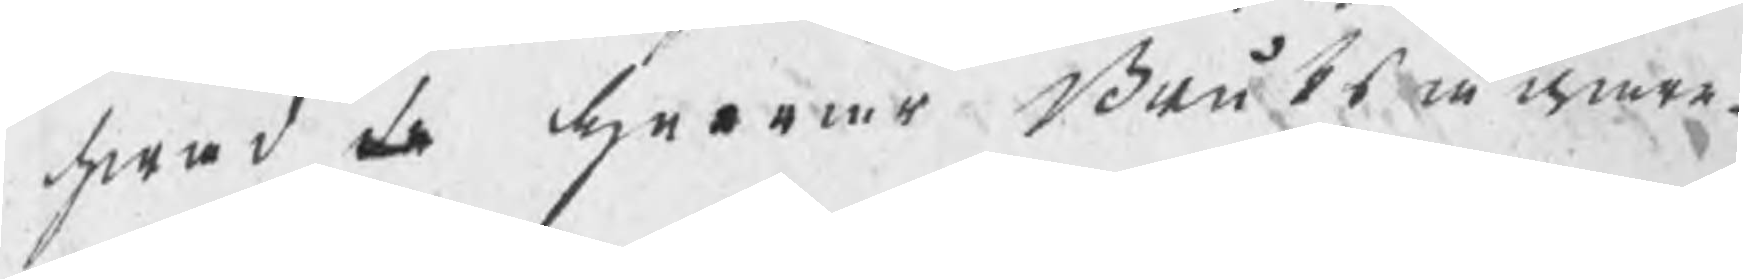hwad de herrar Bruksägare¬
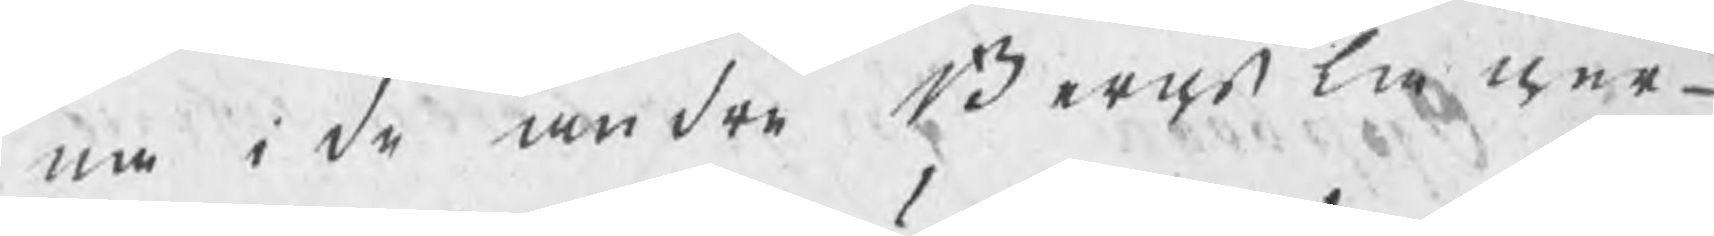na i de andre Bergslager¬
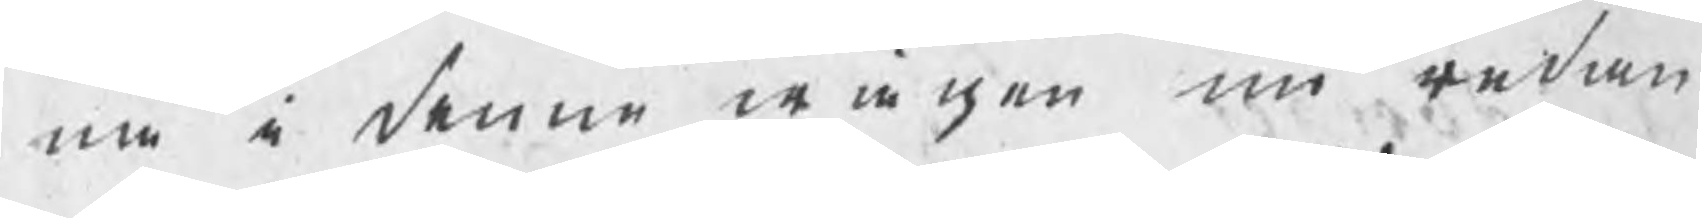na i denne wägen nu redan
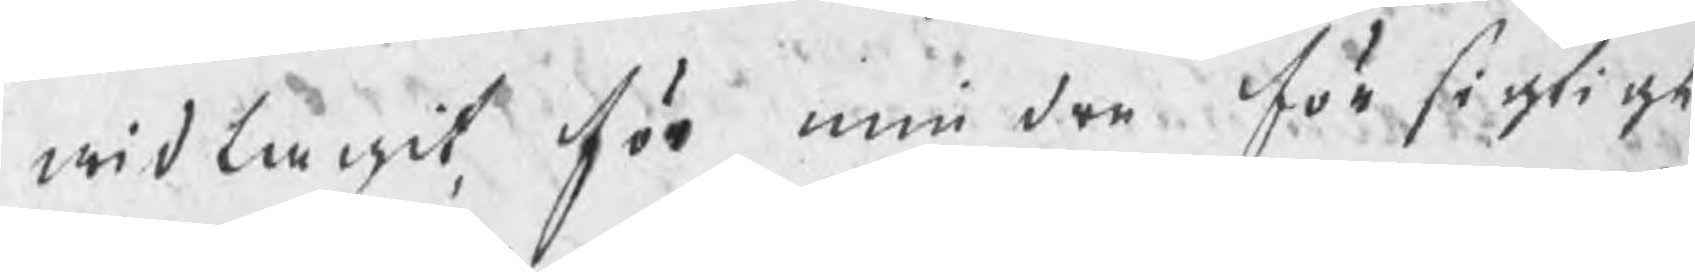widtagit, för mindre försigtigt,
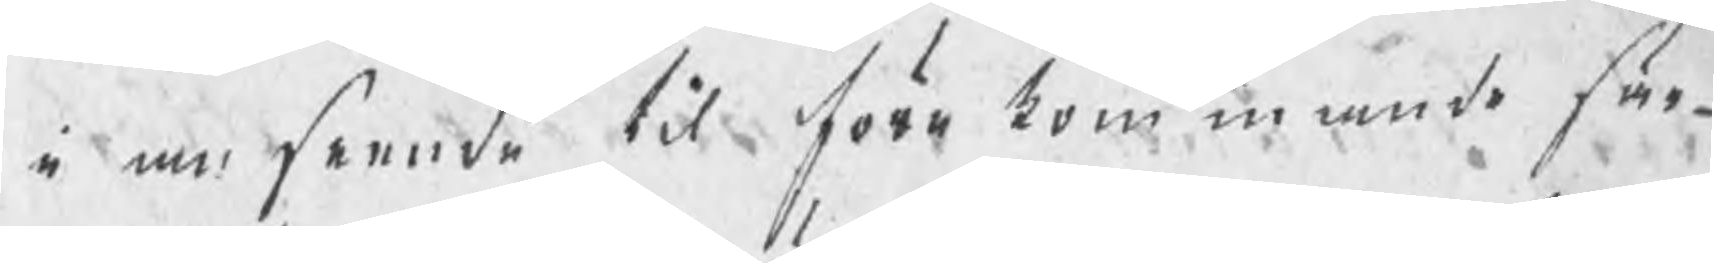i anseende til förekommande sär¬
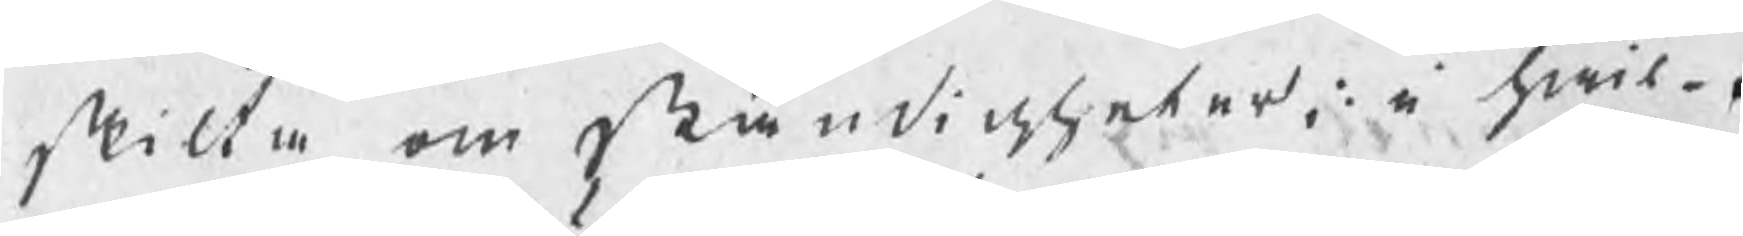skilte omständigheter, i hwil¬
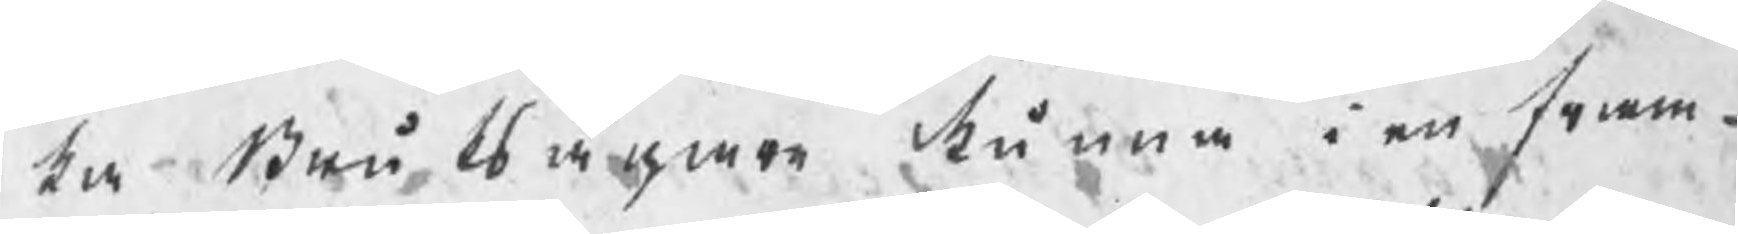ka Bruksägare kunna i en fram¬
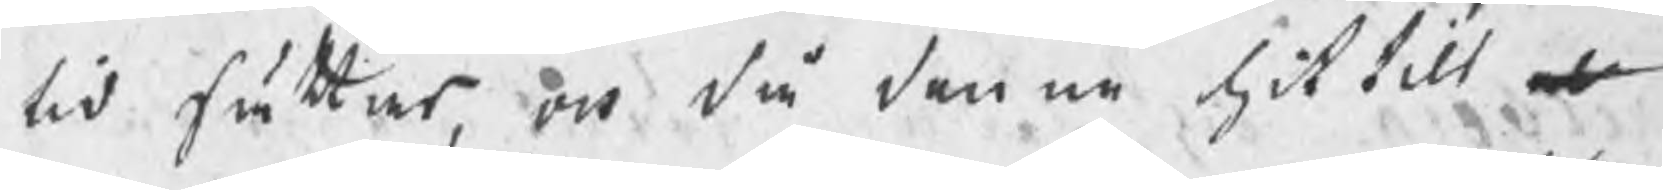tid sättas, och då denne hittils er
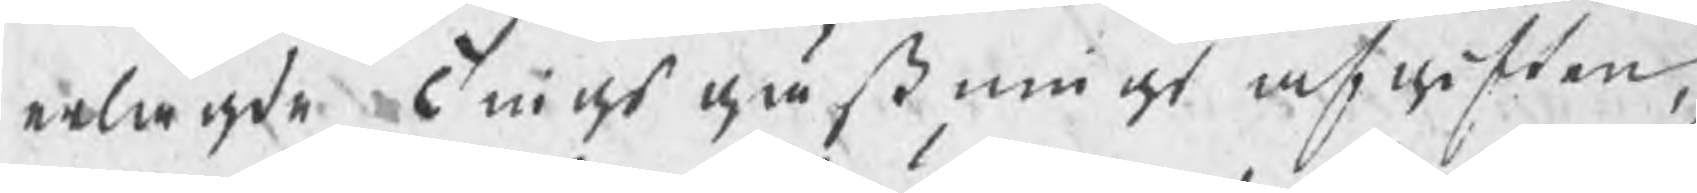erlagde Tingsgästnings afgiften,
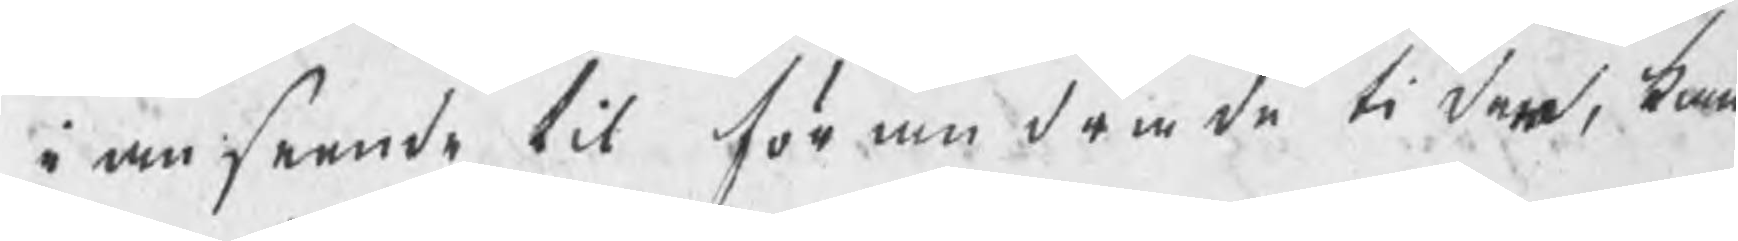i anseende til förändrade tiden, kan
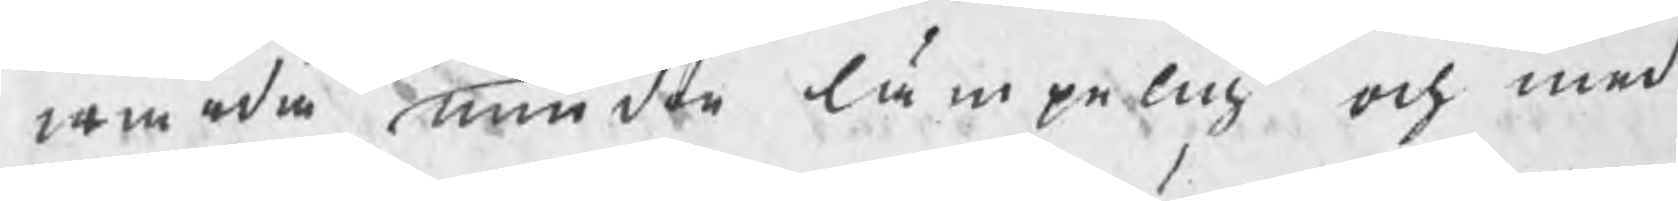warda mindre lämpelig och med
